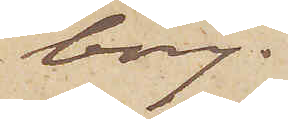borg.
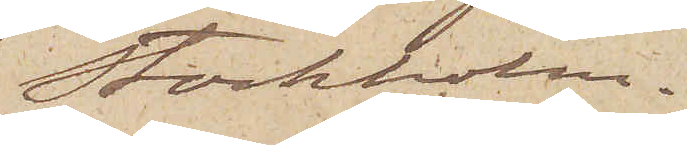Stockholm.
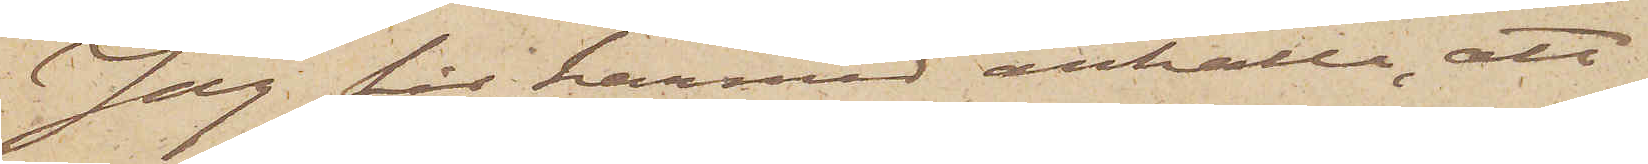Jag får härmed anhålla, att
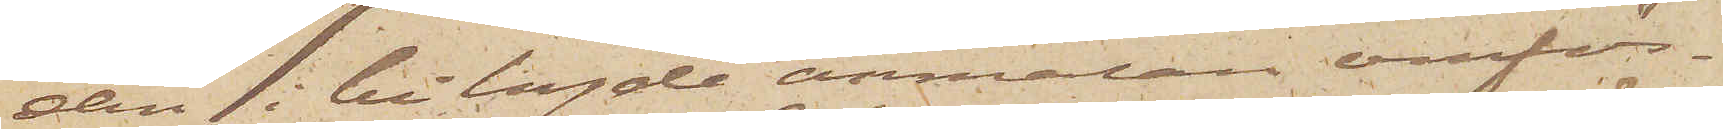den i bilagde anmälan omför¬
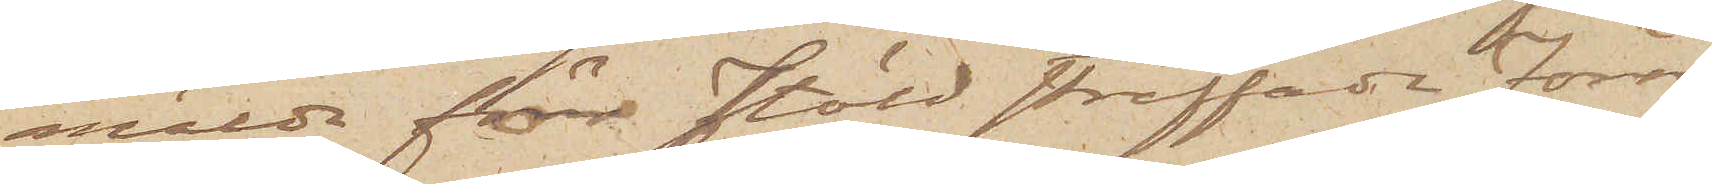mälda för stöld straffade Förre
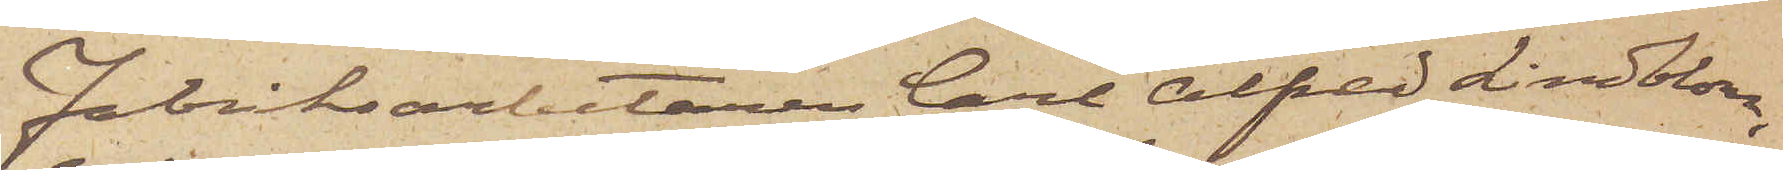Fabriksarbetaren Carl Alfred Lindblom,
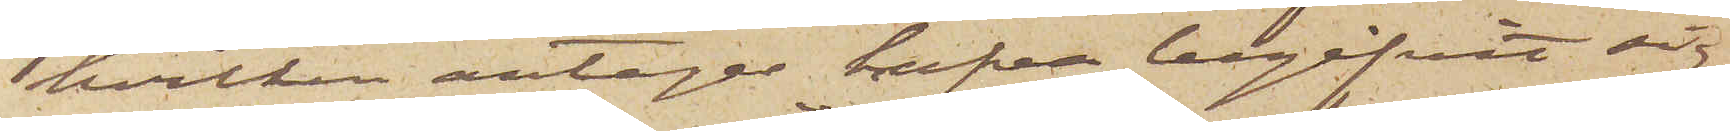hvilken antages hafva begifvit sig
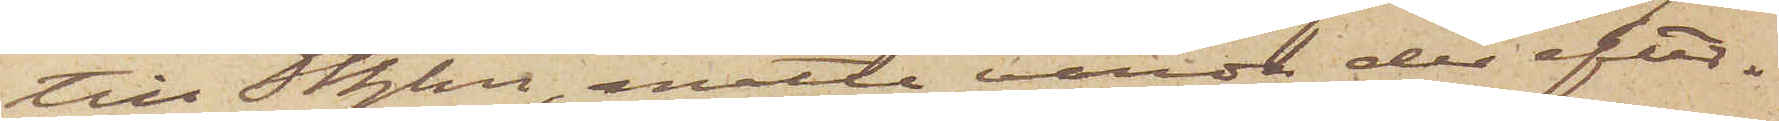till Sthlm, måtte varda der efter¬
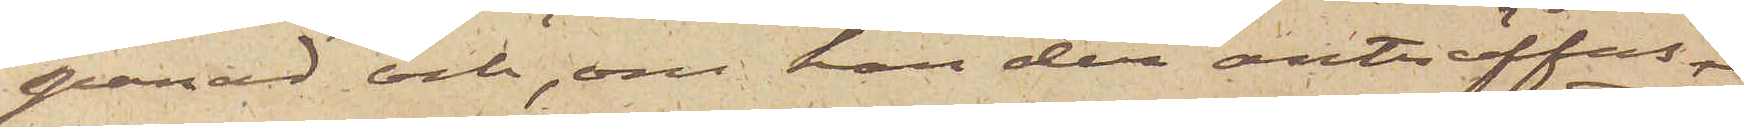spanad och, om han der anträffas,
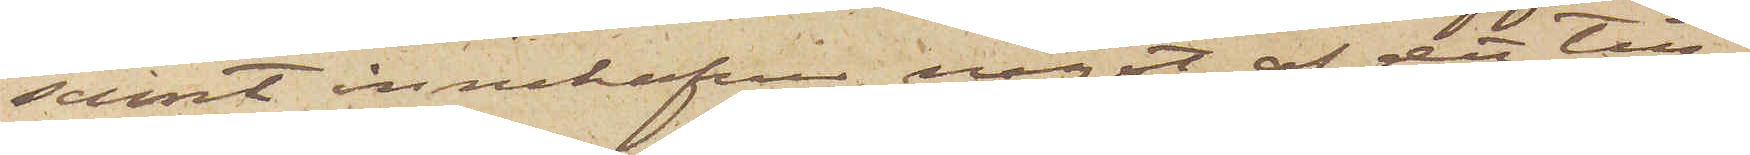samt innehafva något af det till¬
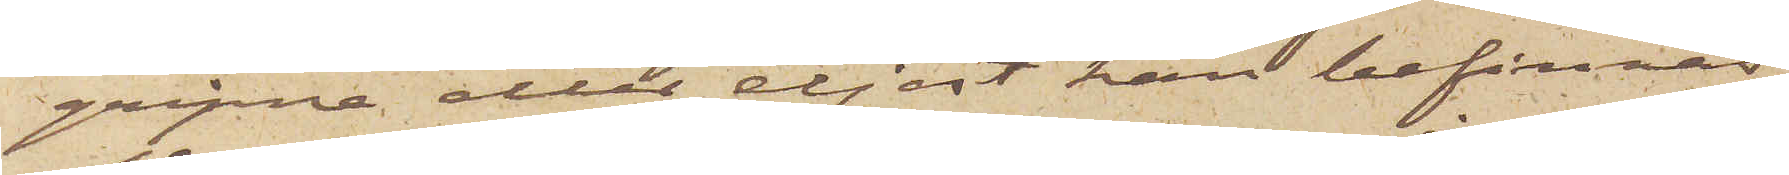gripne eller eljest han befinnas
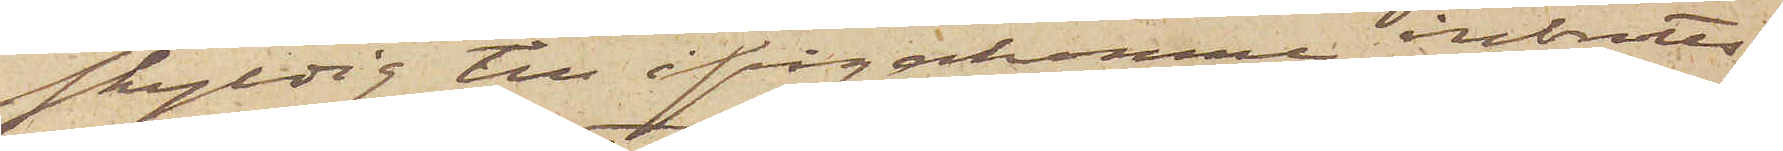skyldig till ifrågakomne inbrotts¬
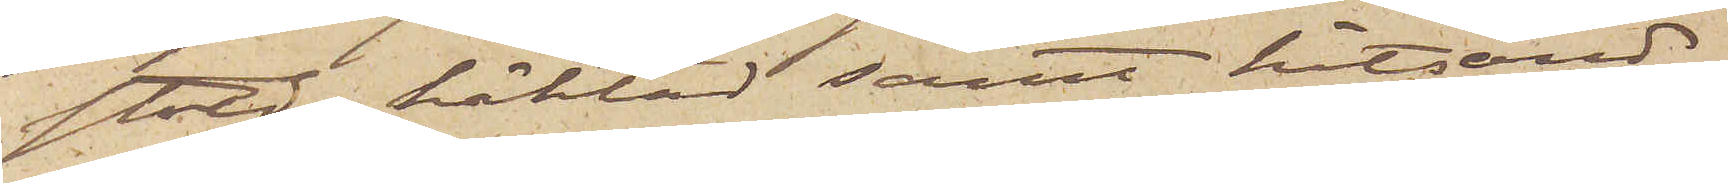stöld, häktad samt hitsänd.
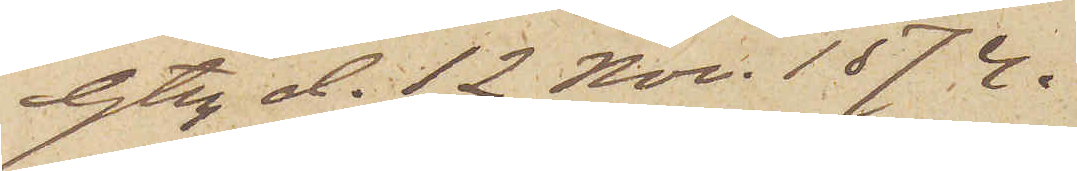Gtbg d. 12 Nov. 1874.
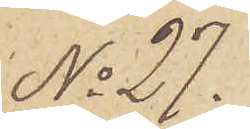No 27.
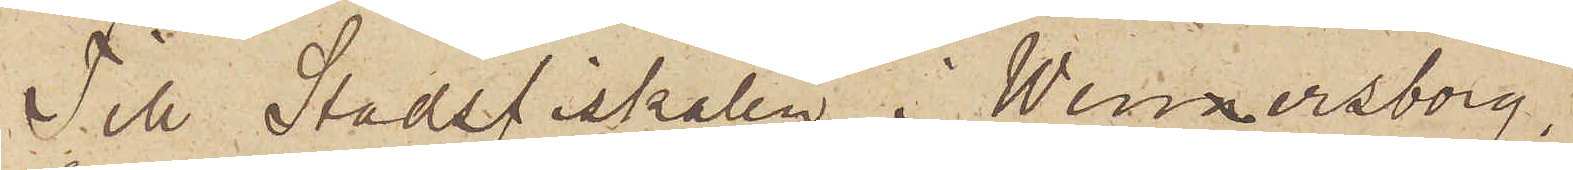Till Stadsfiskalen i Wennersborg,
